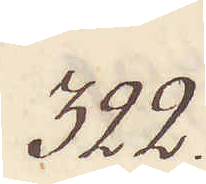322.
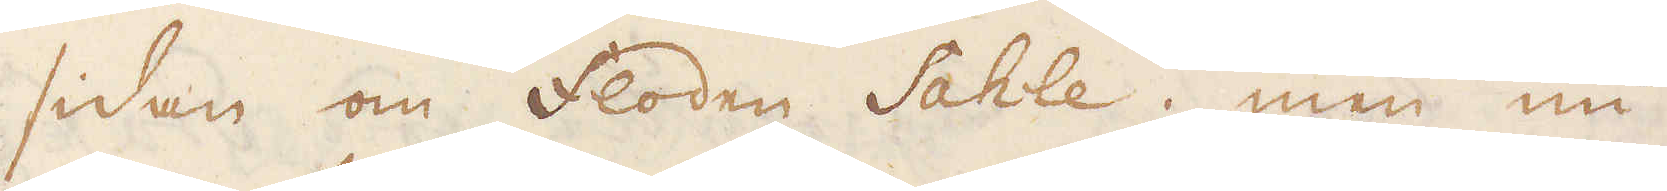sidan om floden Sahle, men nu
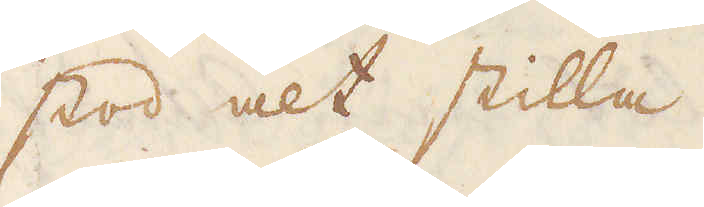stod alt stilla.
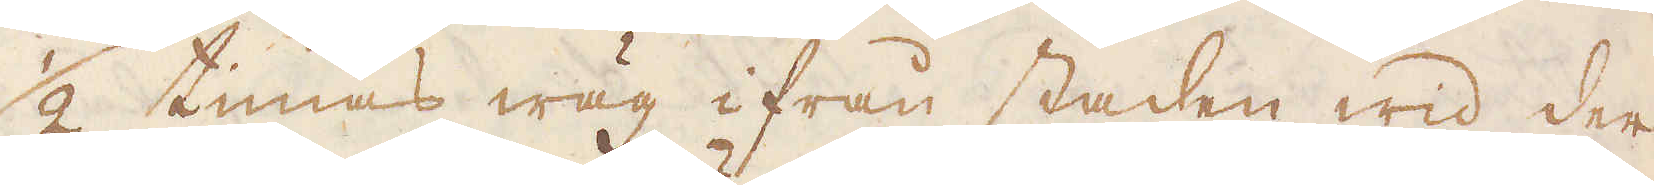1/2 timas wäg ifrån staden wid der
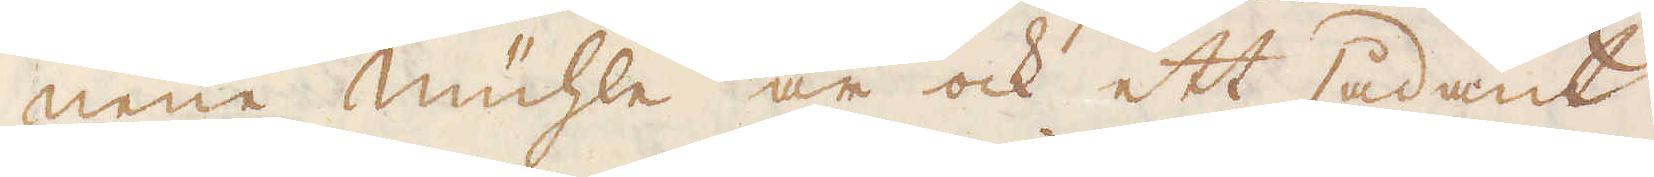neüe mühle är ock ett sådant,
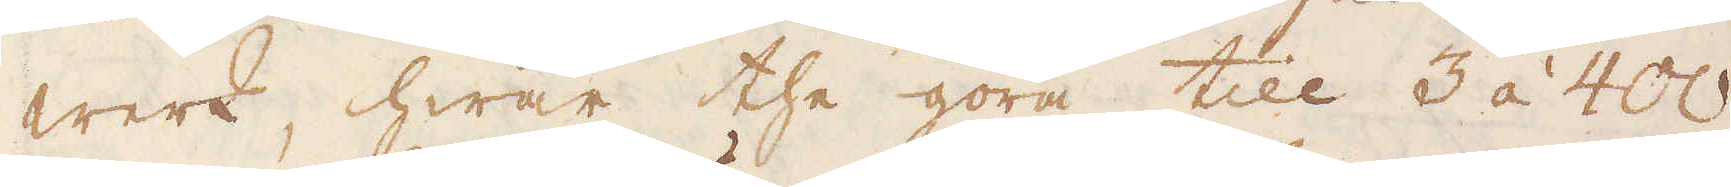werk, hwar the göra till 3 à 400
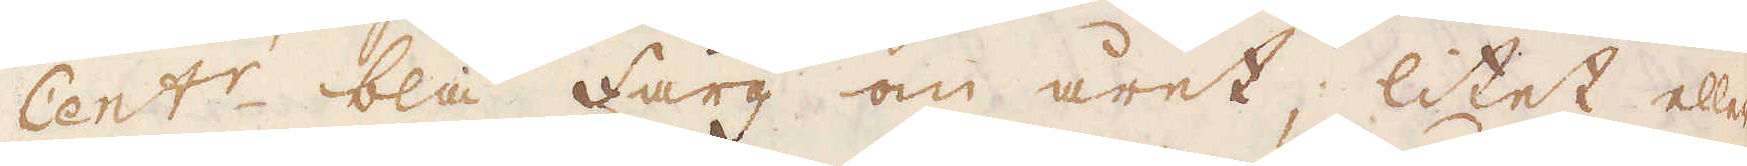Cent:r blå färg om året, litet eller
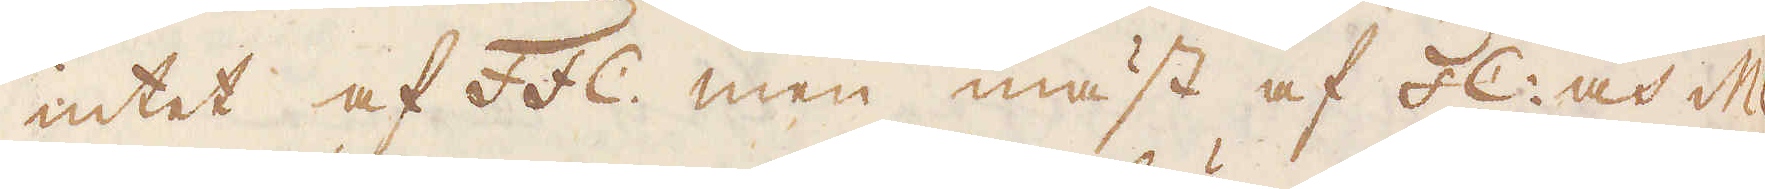intet af Ffc. men mäst af Fc: och MC
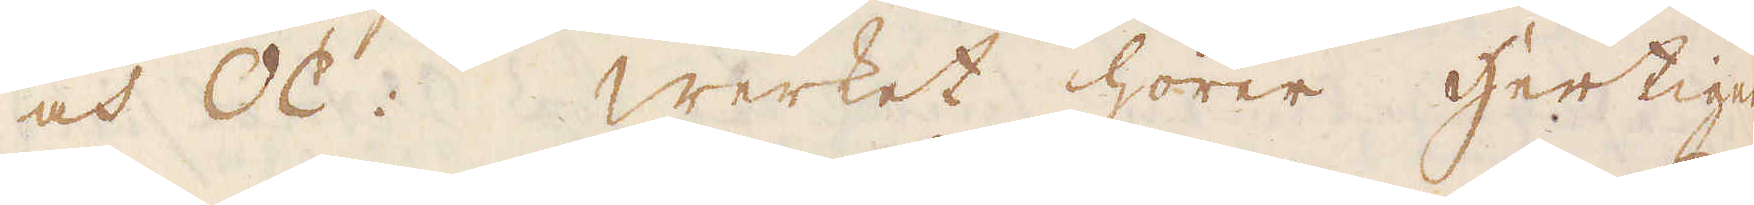och OC: Werket hörer hertigen
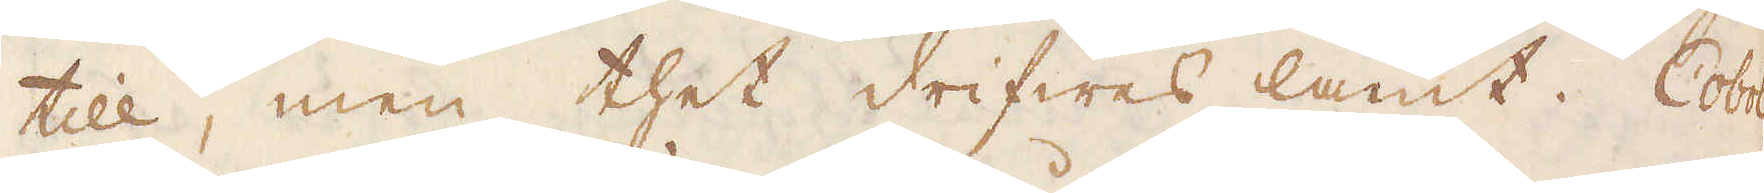till, men thet drifwes lamt. Cobol-
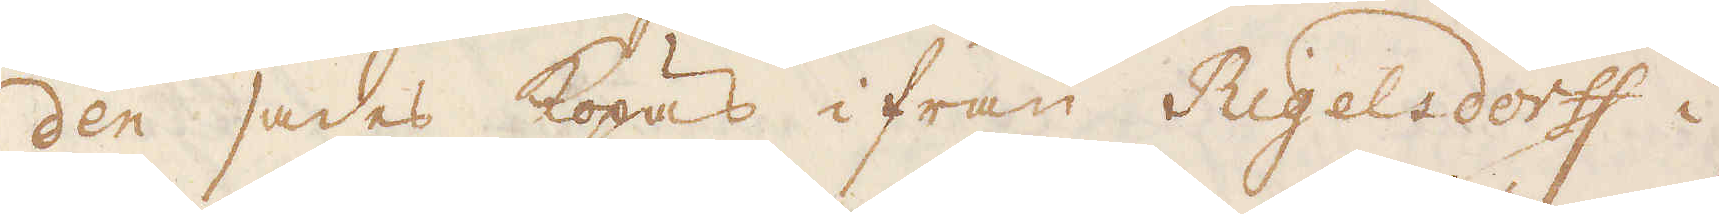den sades köpas ifrån Rigeledorff i
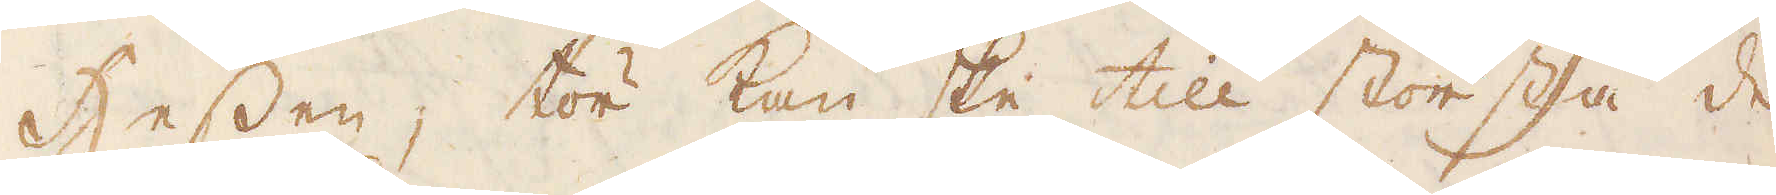Hessen, tör kan ske till största de-
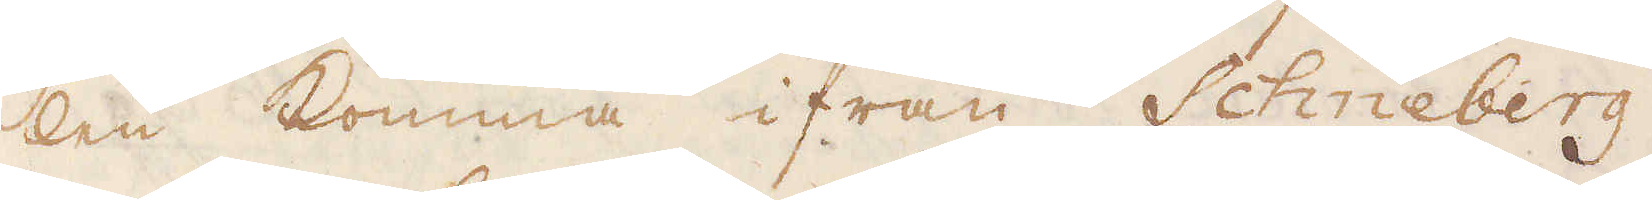len komma ifrån Schneberg.
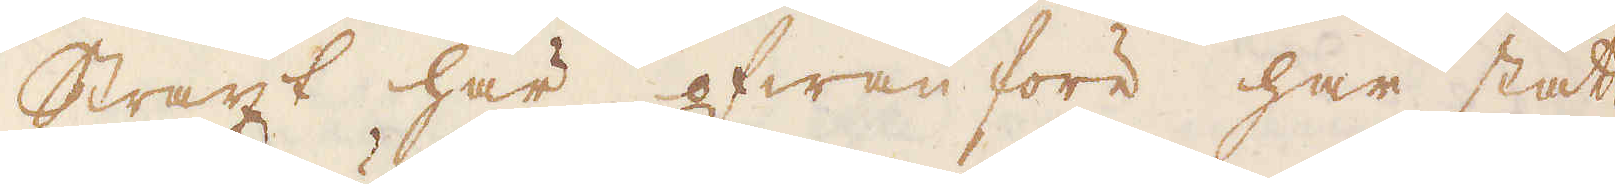Straxt här ofwanföre har stått
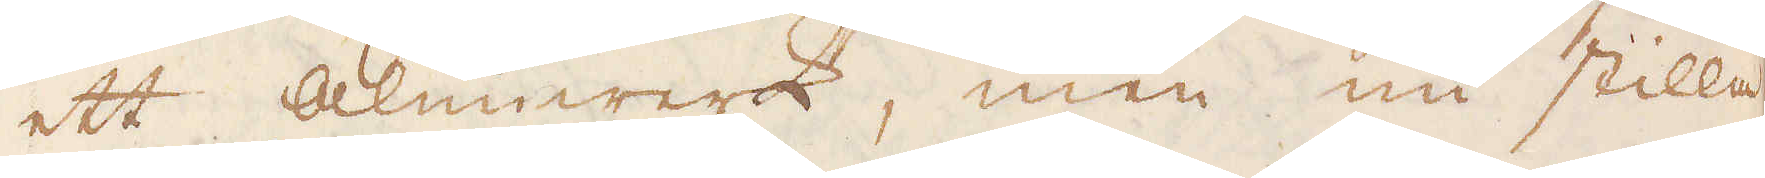ett alunwerk, men nu stilla
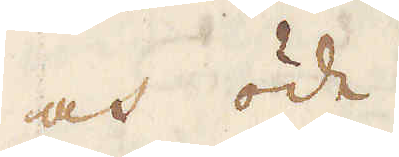och öde.
